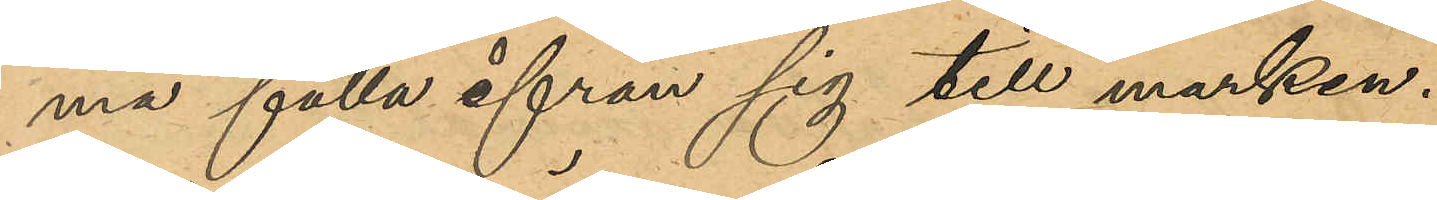ma falla ifrån sig till marken.
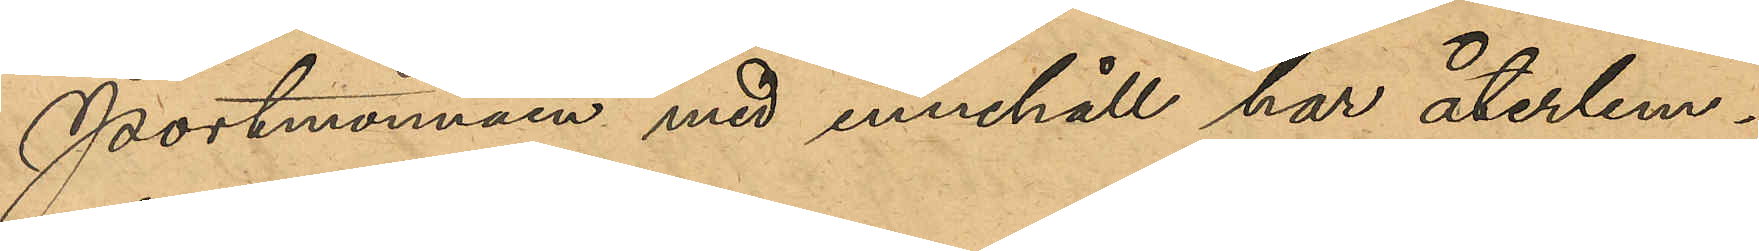Portmonnäen med innehåll har återlem¬
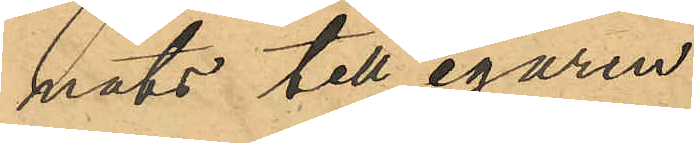nats till egaren.
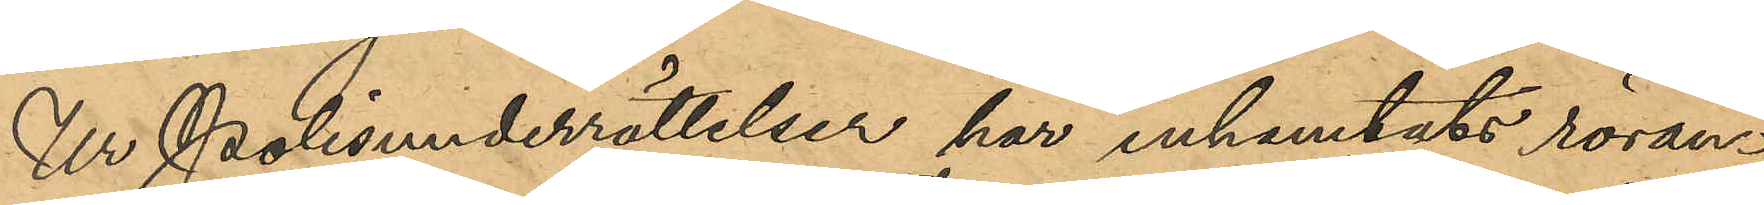Ur Polisunderrättelser har inhemtats röran¬
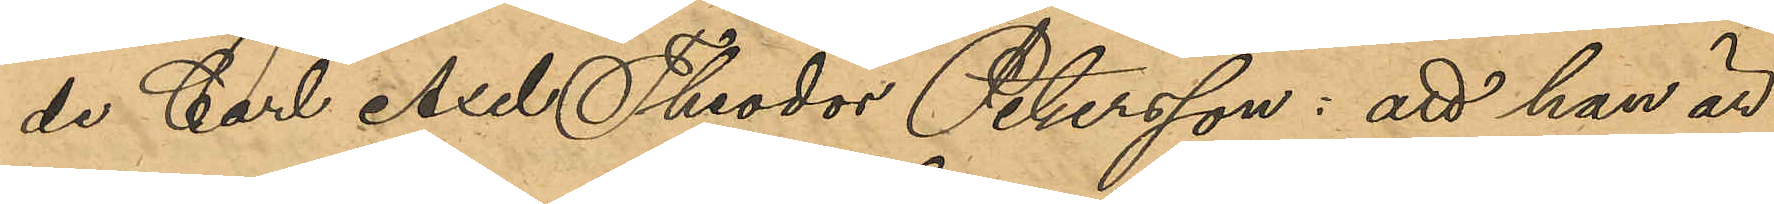de Carl Axel Theodor Petersson: att han är
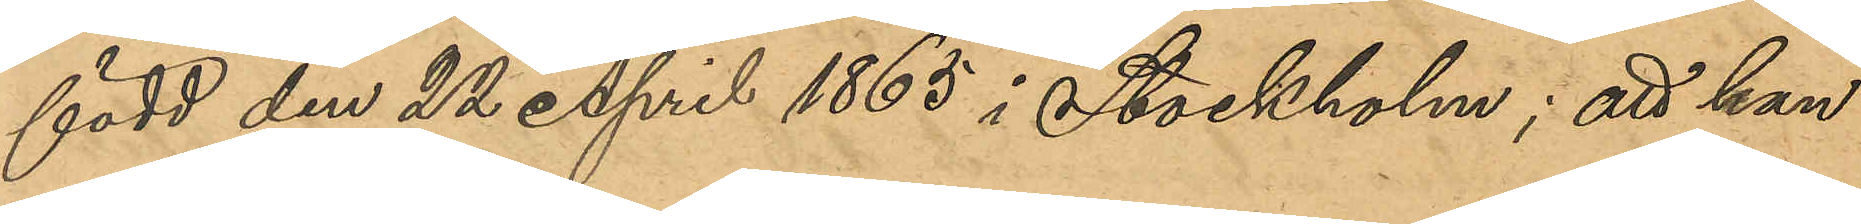född den 22 April 1865 i Stockholm; att han
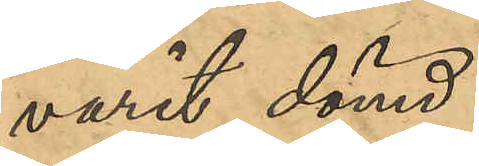varit dömd:
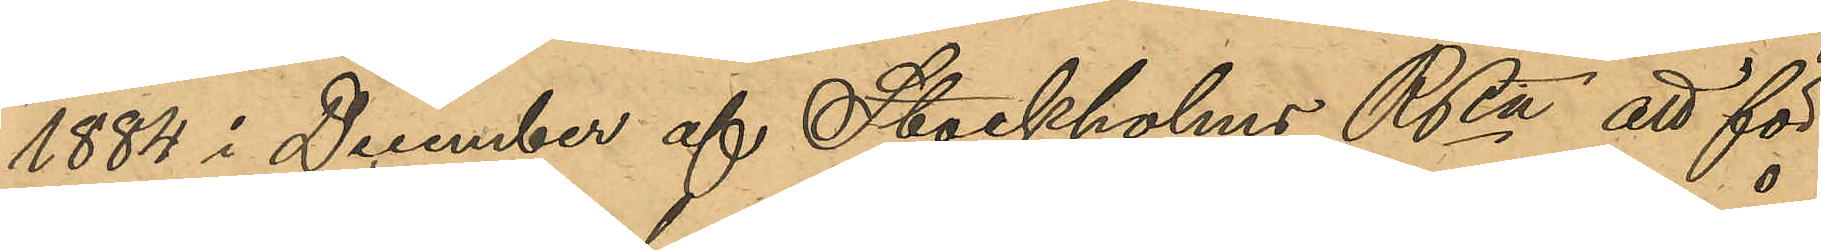1884 i December af Stockholms RRtt att för
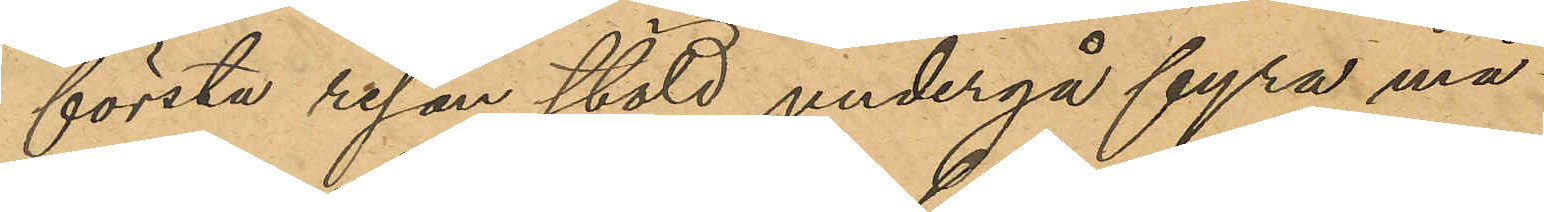första resan stöld undergå fyra må¬
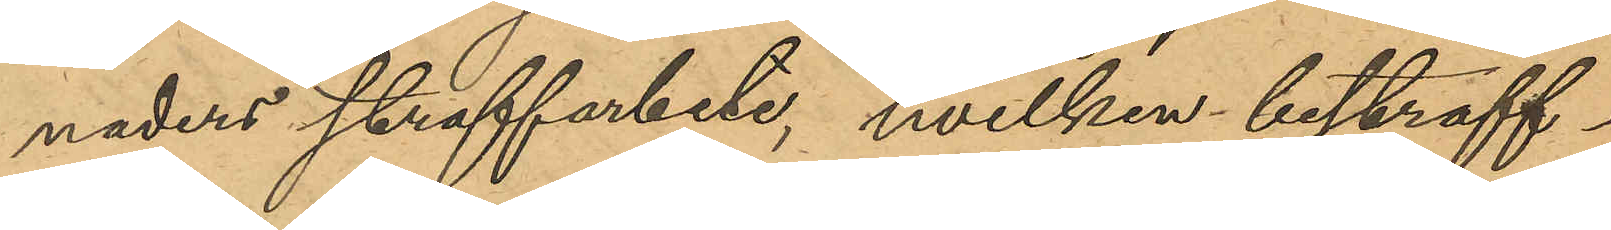naders straffarbete, hvilken bestraff¬
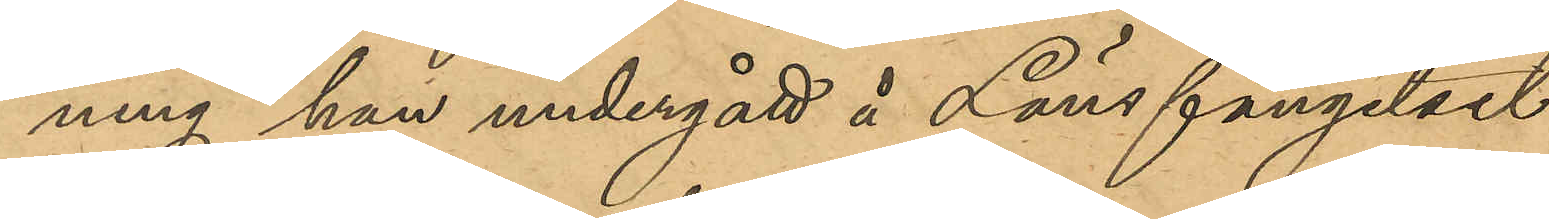ning han undergått å Länsfängelset
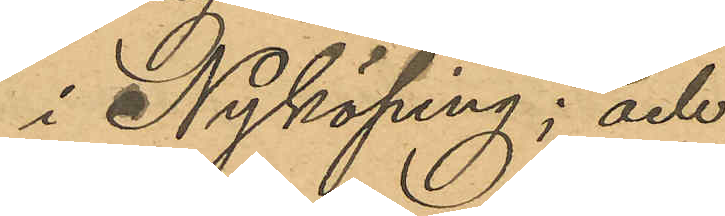i Nyköping; och
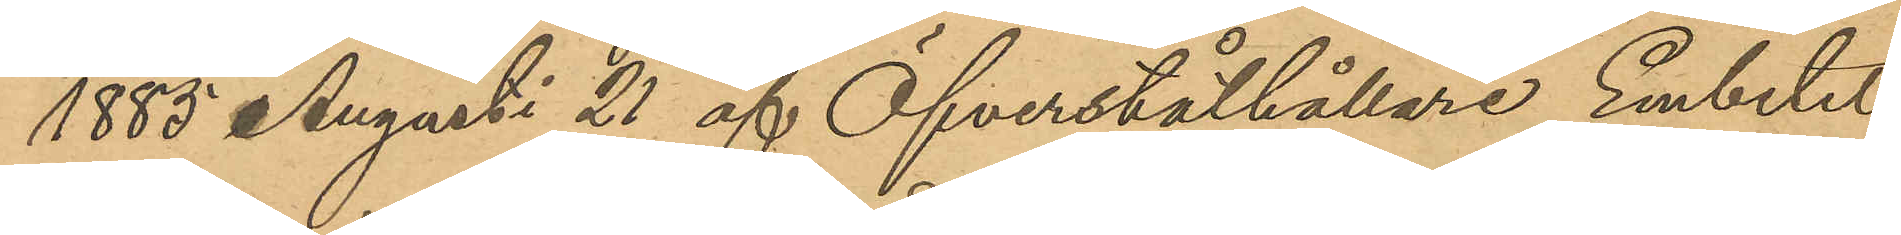1885 Augusti 21 af Öfverståthållare Embetet
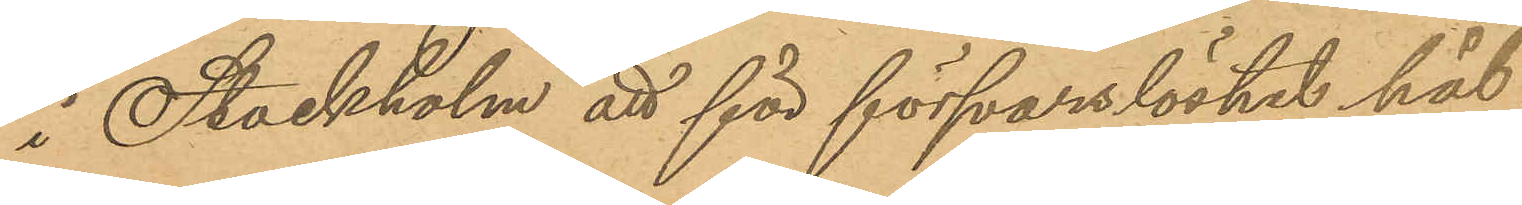i Stockholm att för försvarslöshet hål¬
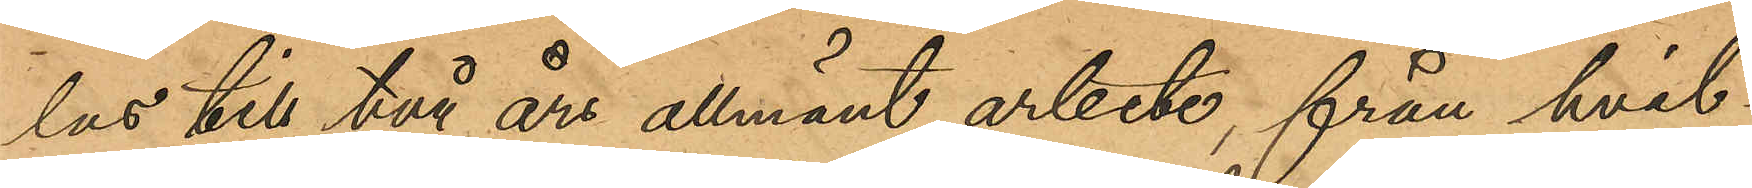las till två års allmänt arbete, från hvil¬
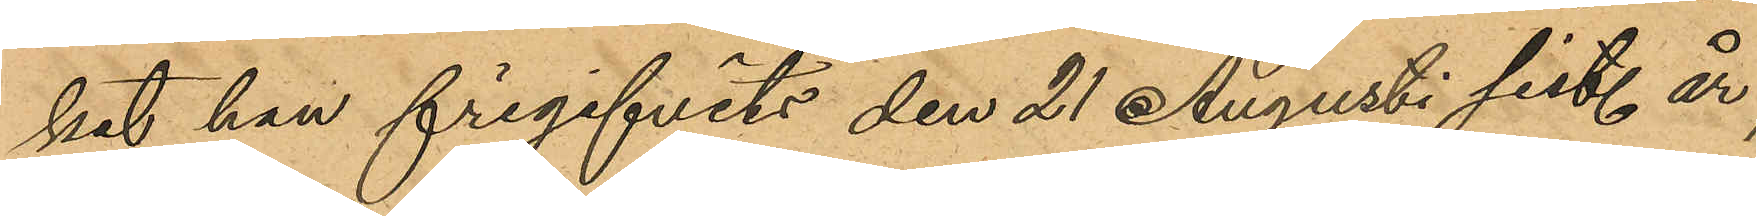ket han frigifvits den 21 Augusti sist. år;
